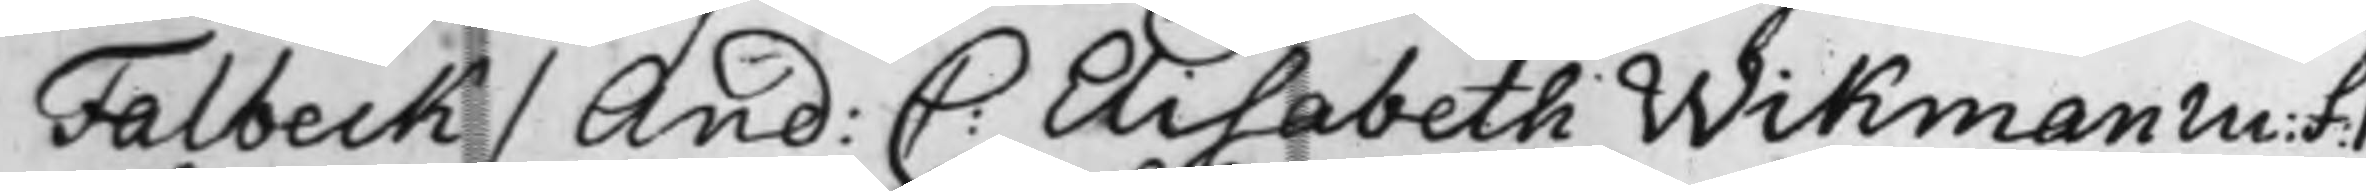Falbeck / And: C: Elisabeth Wikman m: f: 1
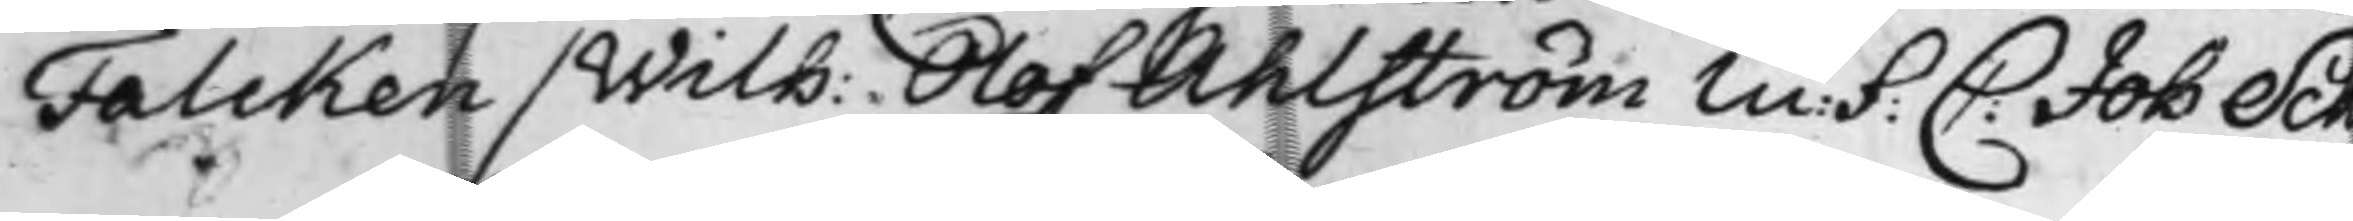Falcken / Wilh: Olof Ahlström m: f: C: Joh Sch
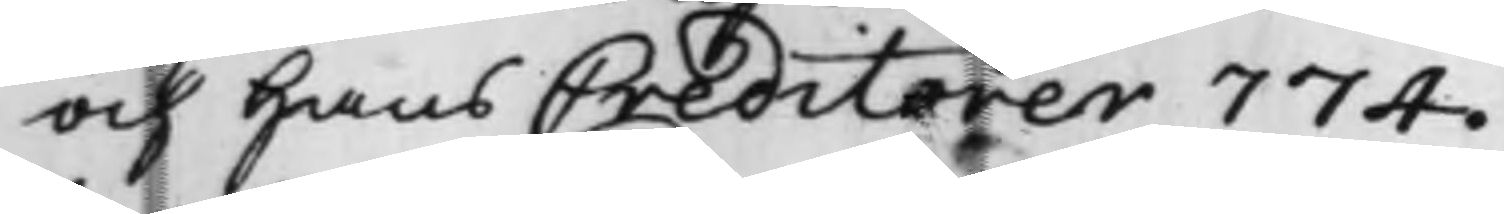och hans Creditorer 774.
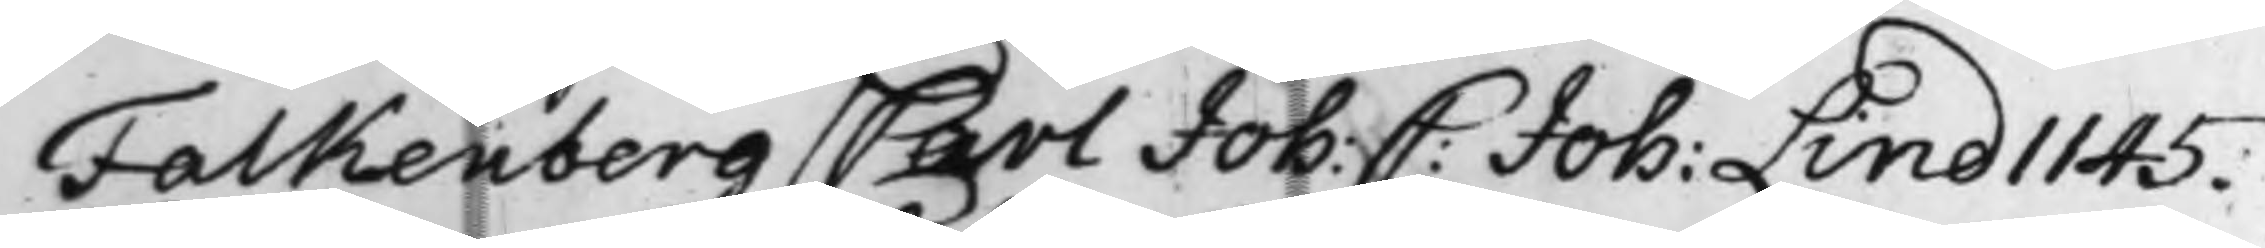Falkenberg / Carl Joh: C: Joh: Lind 1145.
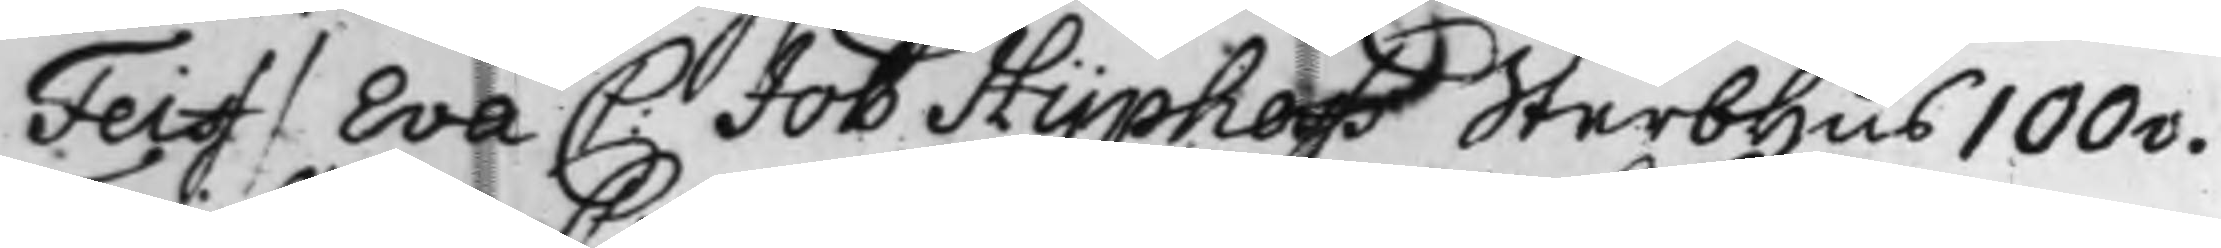Feiff / Eva C: Joh Hyphofs Sterbhus 100v.
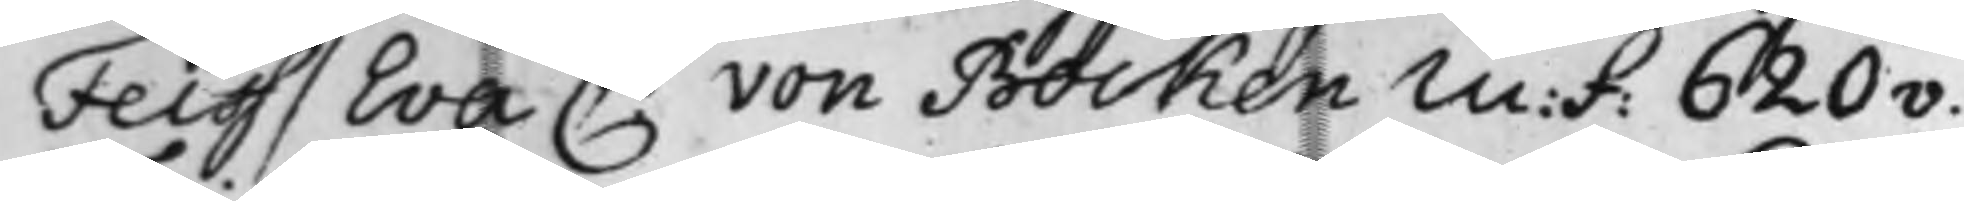Feiff / Eva C: von Bocken m: f: 620v.
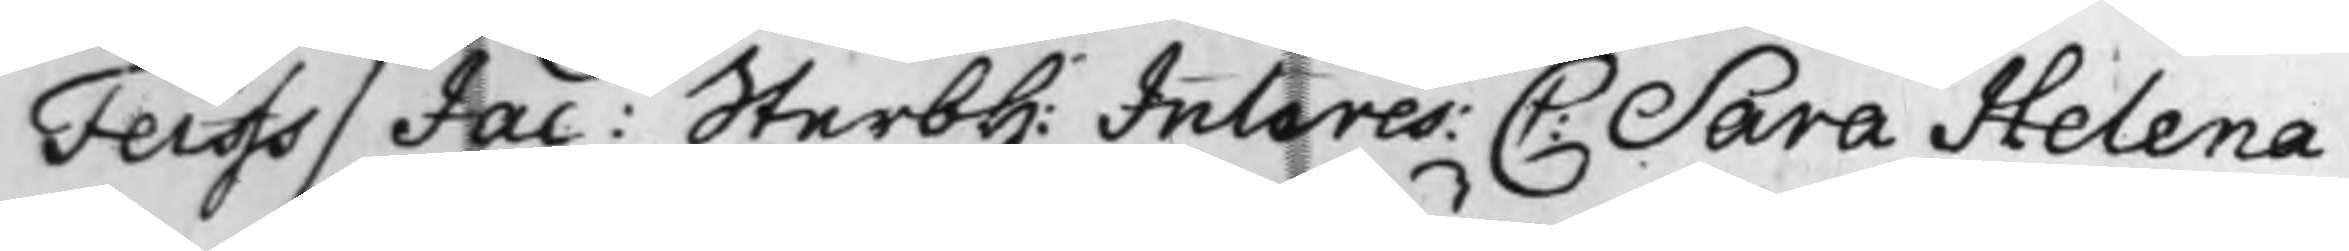Feiffs / Jac: Sterbh: Interes: C: Sara Helena
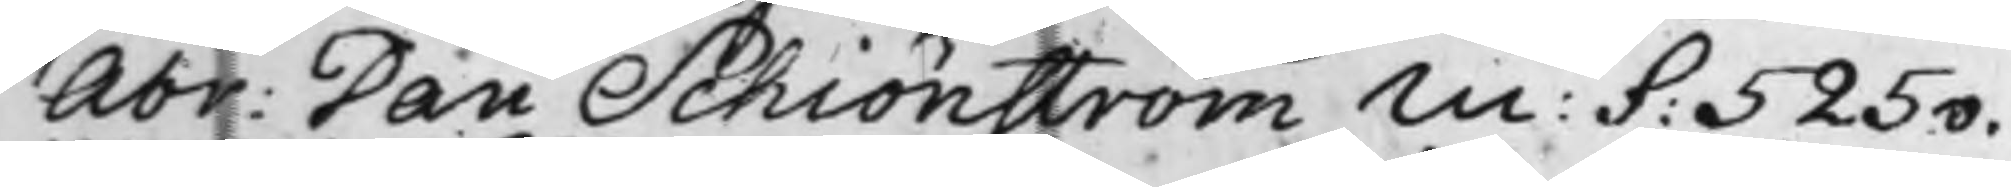Abr: Dan Schiönström m: f: 525v.
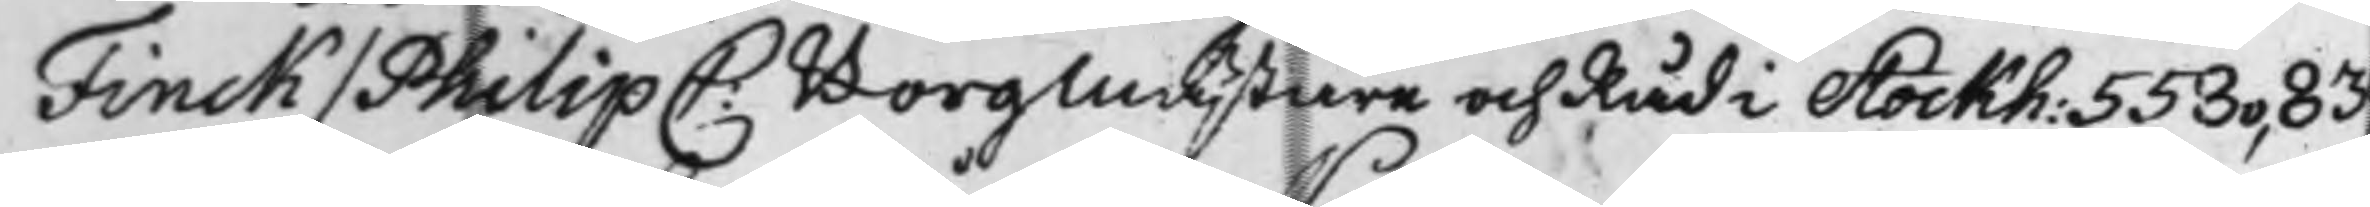Finck / Philip C: Borgmästare och Råd i Stockh: 553v, 839
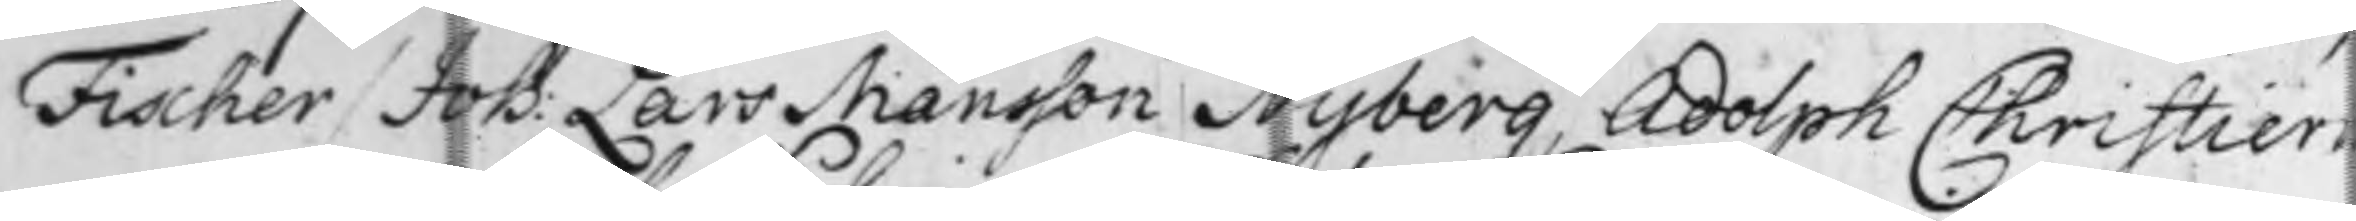Fischer / Joh: Lars Månsson Nyberg, Adolph Christiern
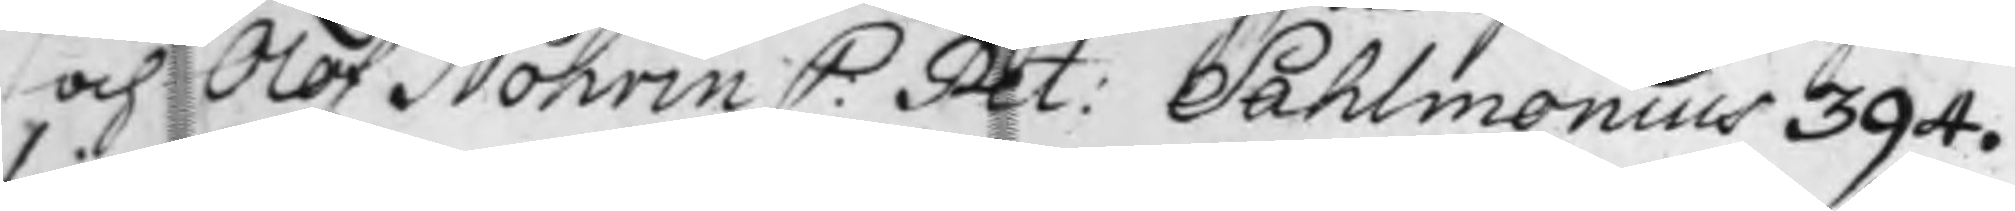och Olof Nohrin C: Pet: Sahlmonius 394.
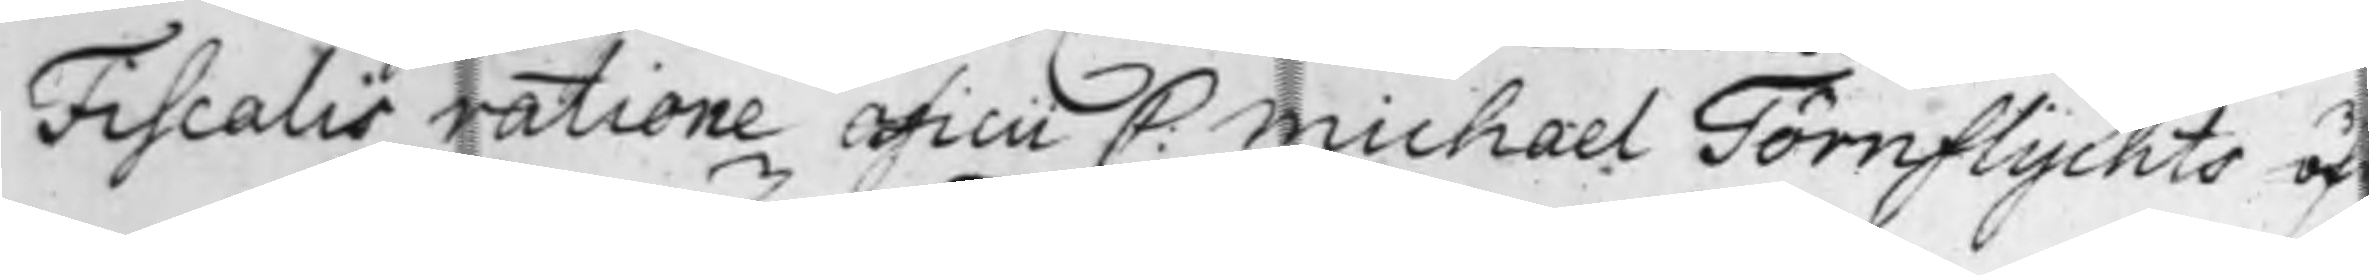Fiscalis ratione officii C: Michael Törnflychts öf
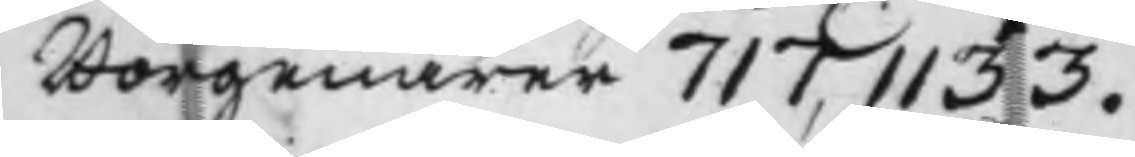Borgenärer 717, 1133.
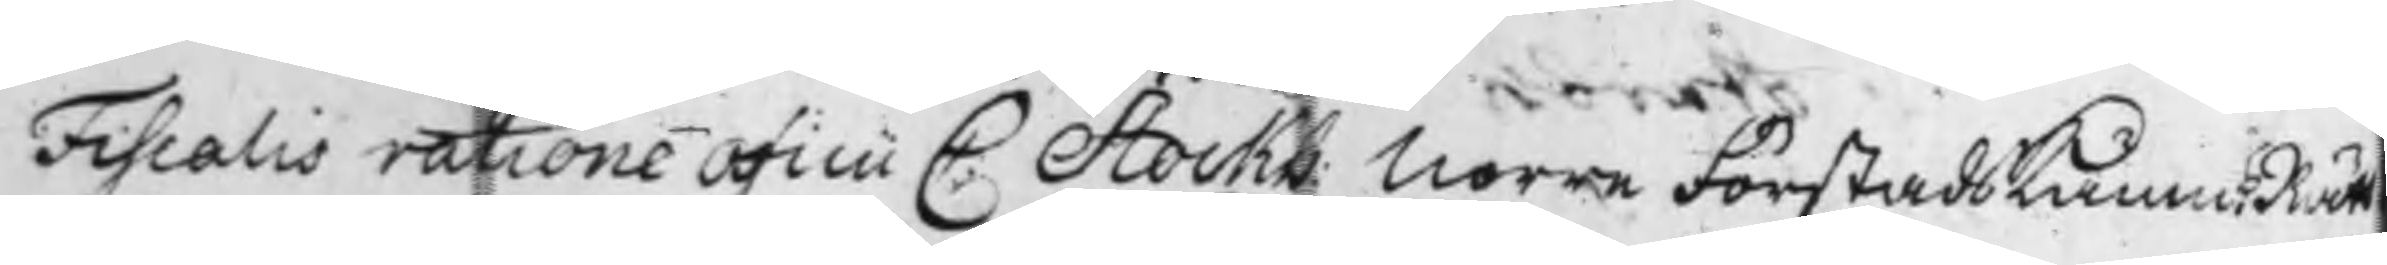Fiscalis ratione officii C: Stockh: Norra Förstads Kämn:Rätt
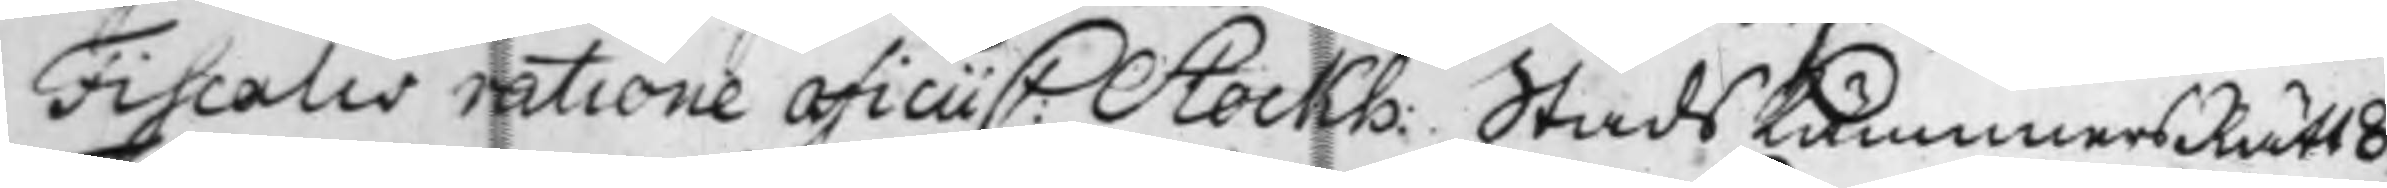Fiscalis ratione officii C: Stockh: Stads KämnärsRätt 8
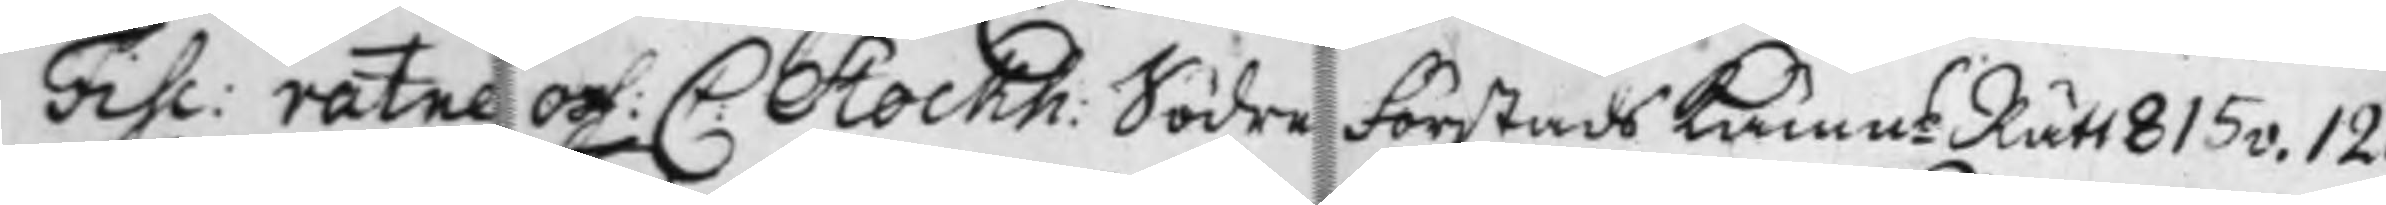Fisc: ratne off: C: Stockh: Södra Förstads KämnsRätt 815v. 123
